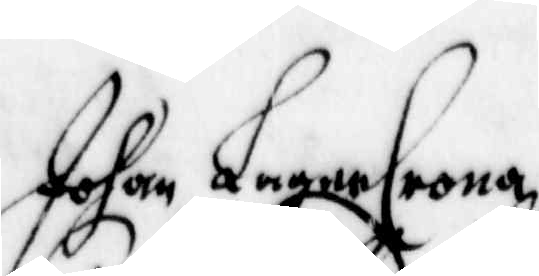Johan LagerCrona,
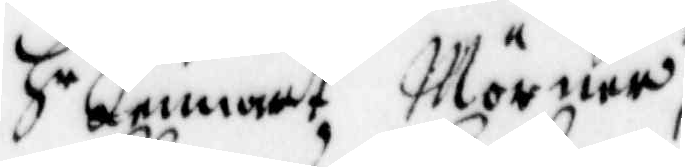H r Lennart Mörner,
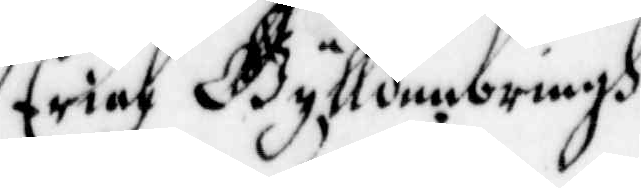Erich Gylldenbringh,
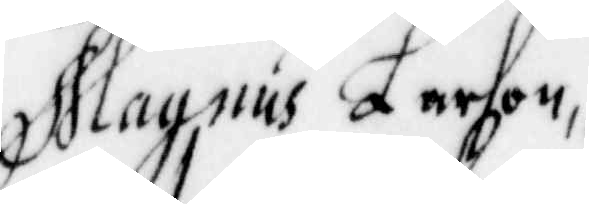Magnus Larson,
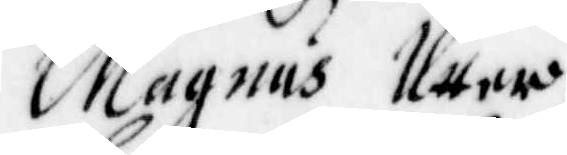Magnus Utter,
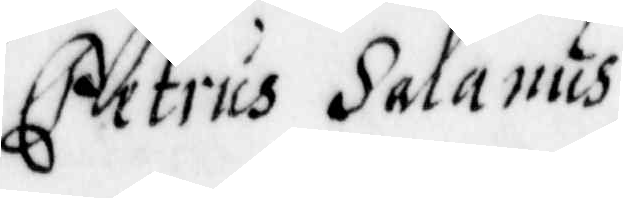Petrus Salanus,
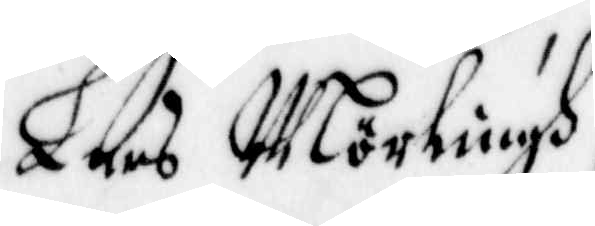Lars Mörlingh,
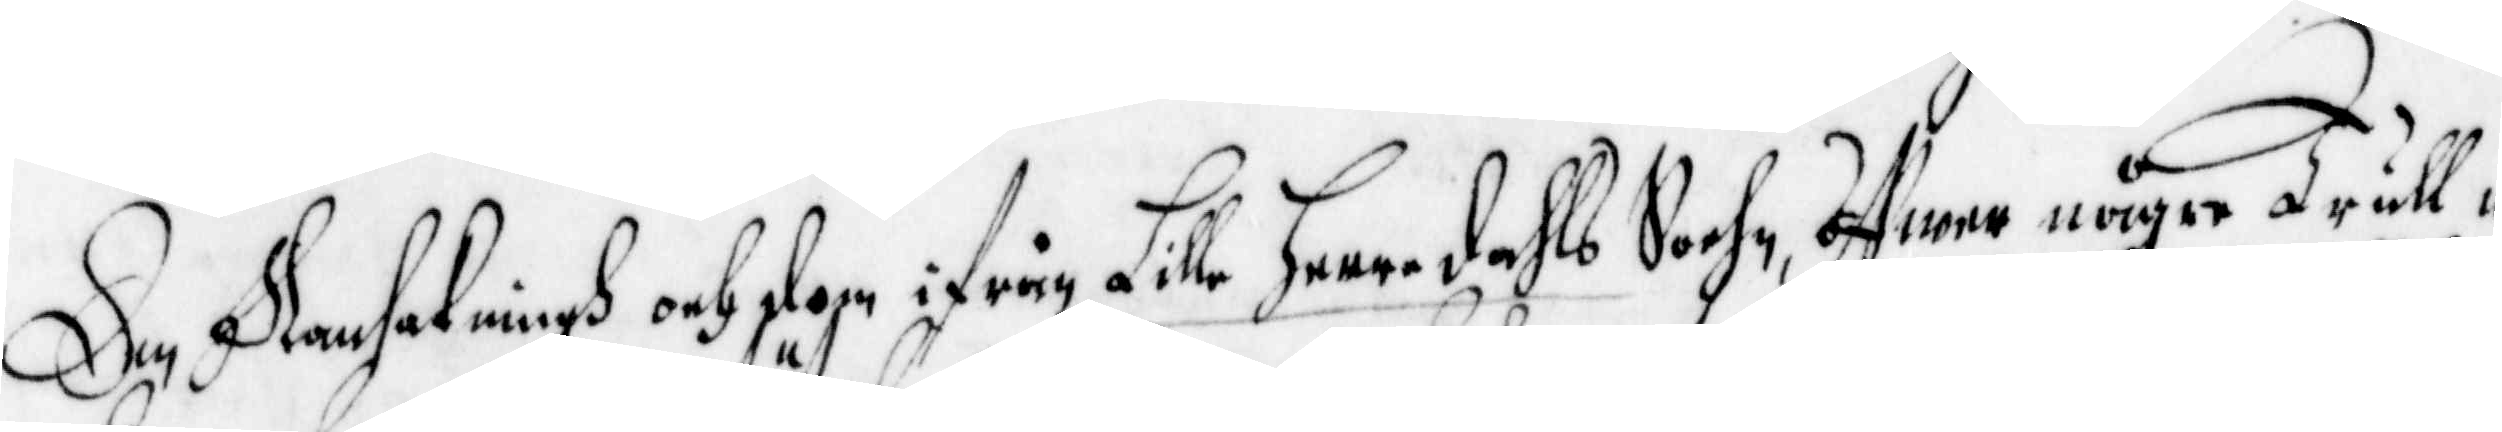Den Ransakningh och dom ifrån Lille Heeredahls Sochn, öffwer någre trull¬
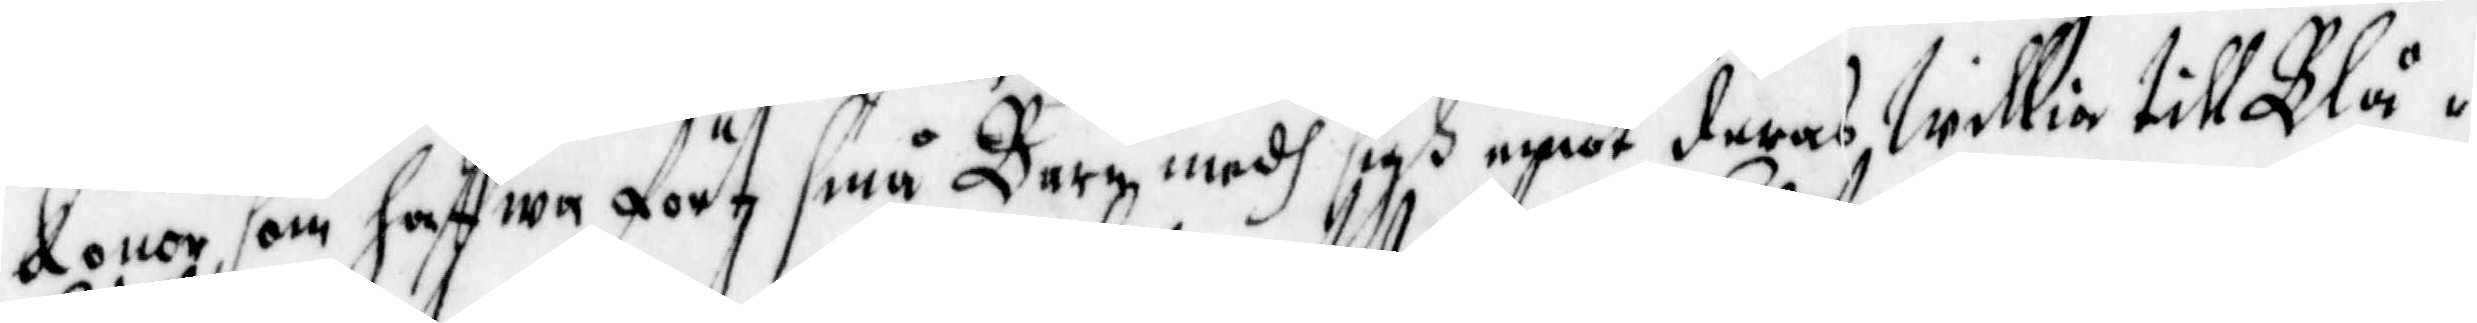konor, som haffwa fört små Barn medh sigh emot deras willia till Blå¬
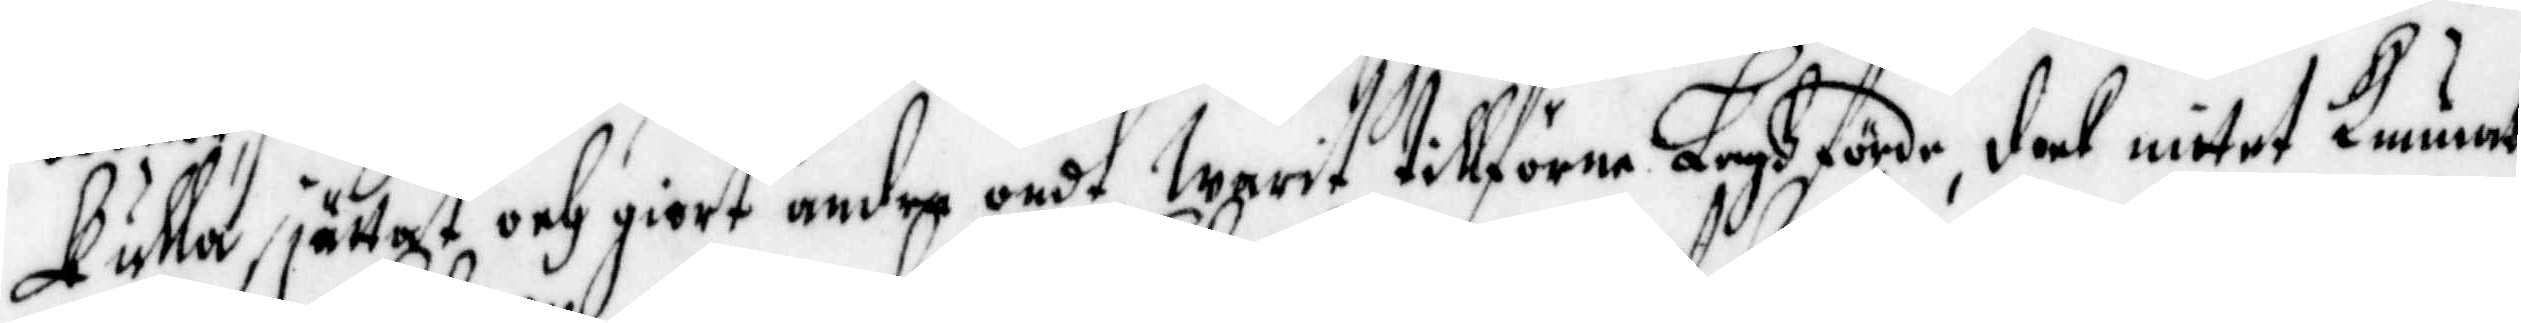kulla, jättat och giort andra ondt, Warit tillförne Laghförde, dock intet Kunnat
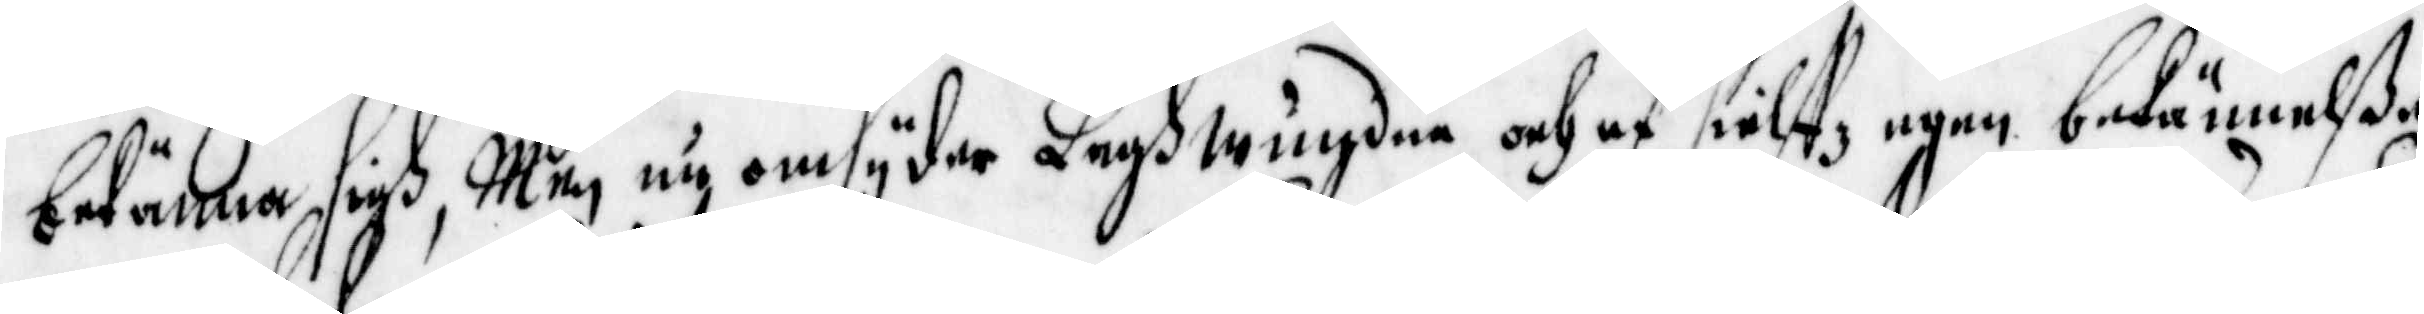bekänna sigh, Men nu omsyder Laghwundne och af sielffz egen bekännelße
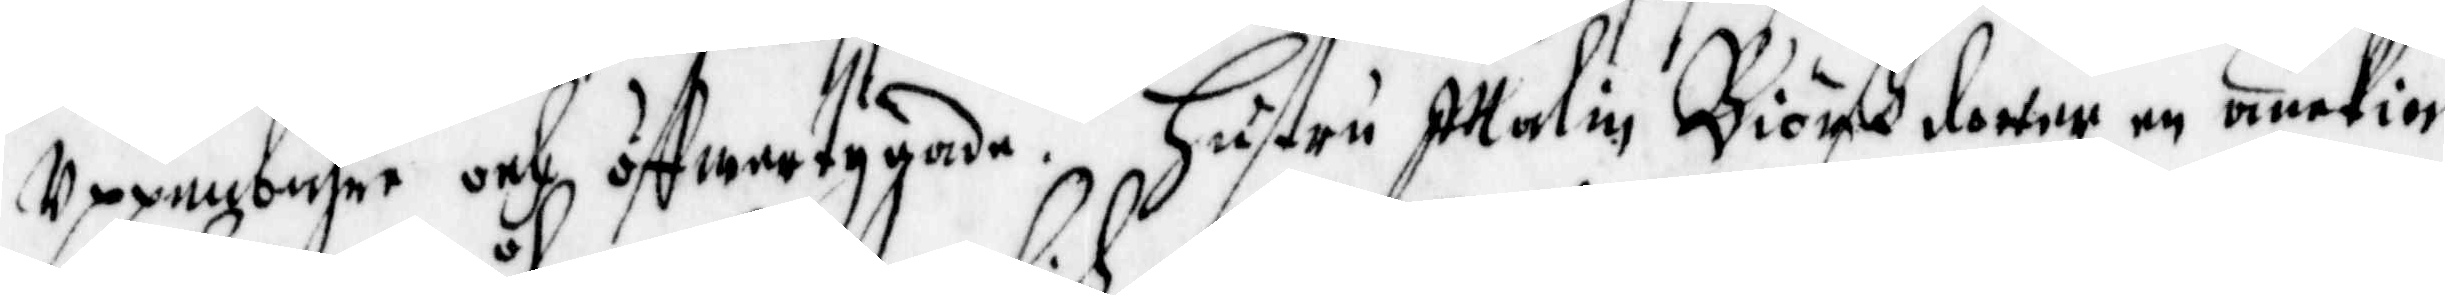Uppenbahre och öffwertygade. Hustru Malin Biösßdotter en änckia
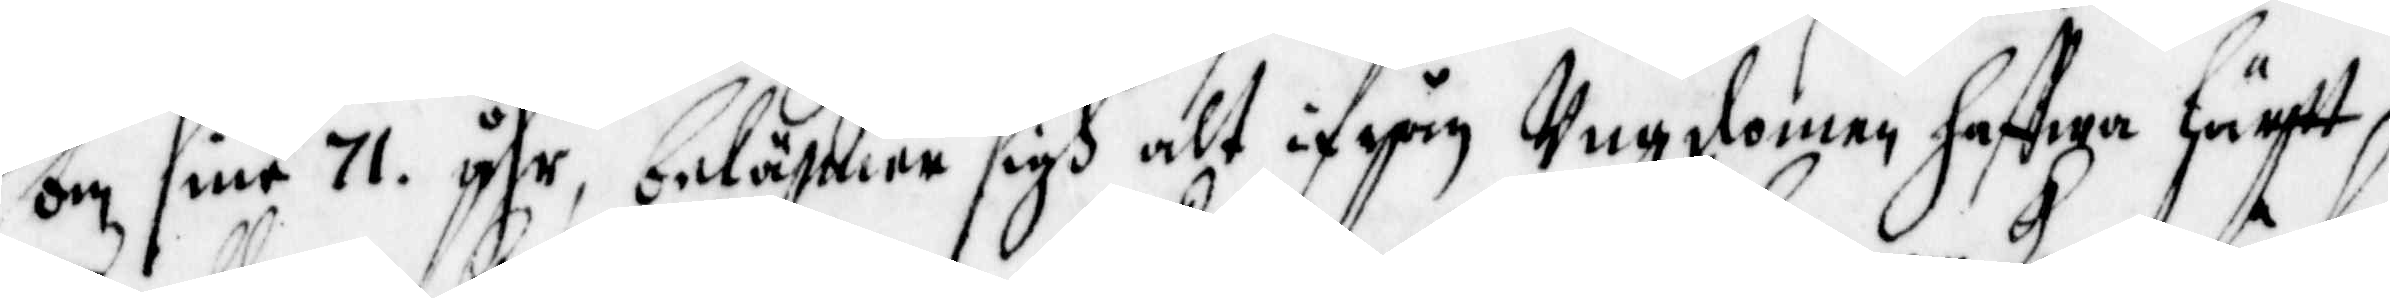om sine 71 åhr, bekänna sigh alt ifrån Ungdomen haffwa lärtt
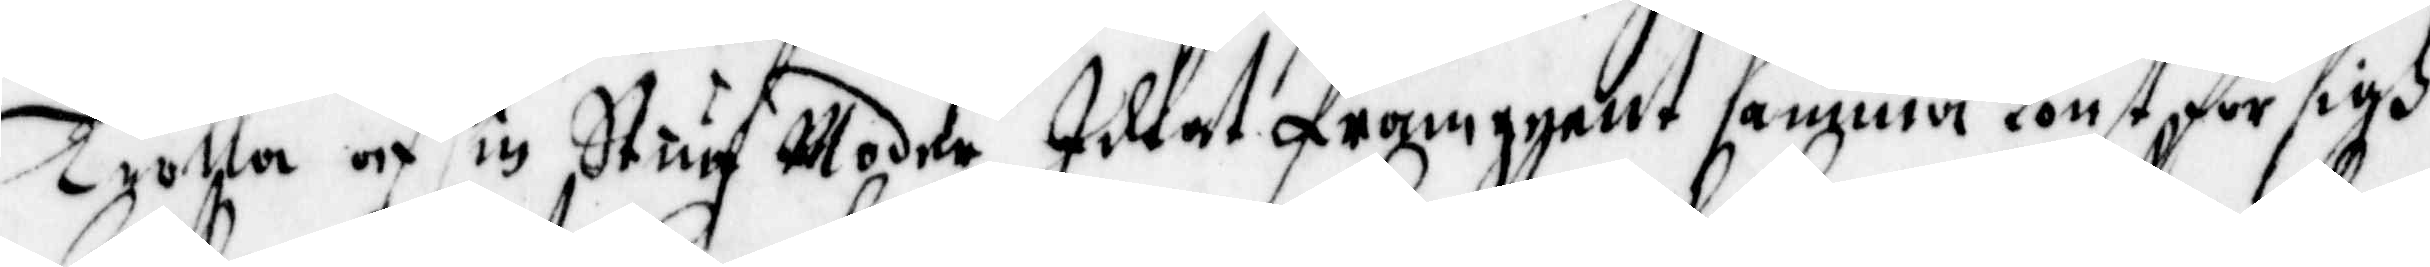Trolla af sin Stuf Moder, idkat framgeent samma konst för sigh
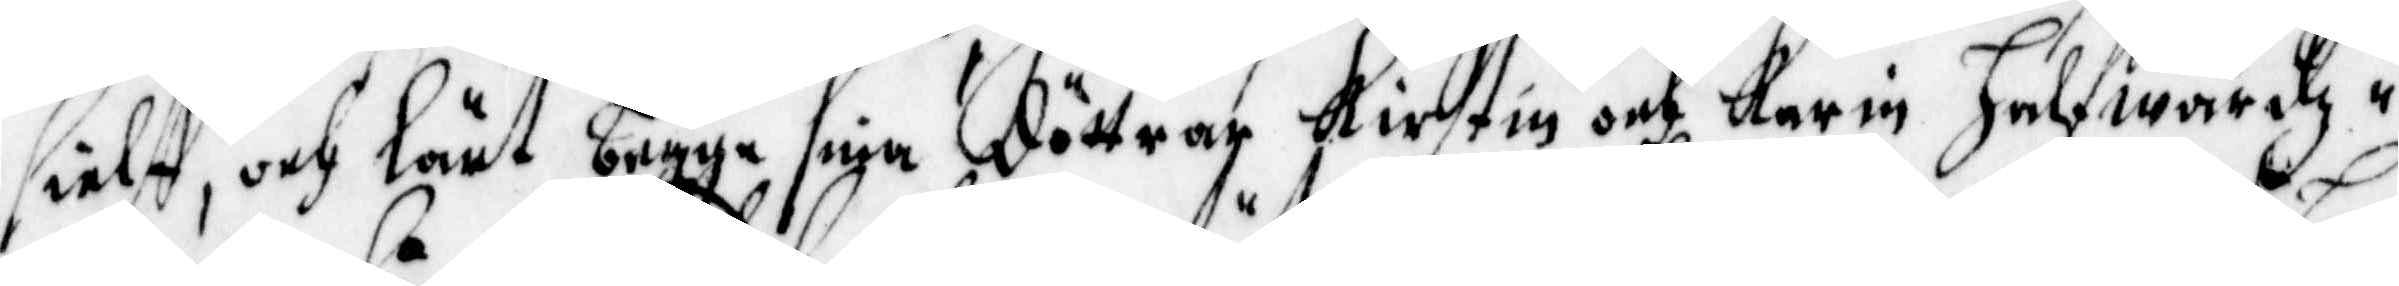siälf, och lärt begge sina döttrar Kirstin och karin Halfwardz¬
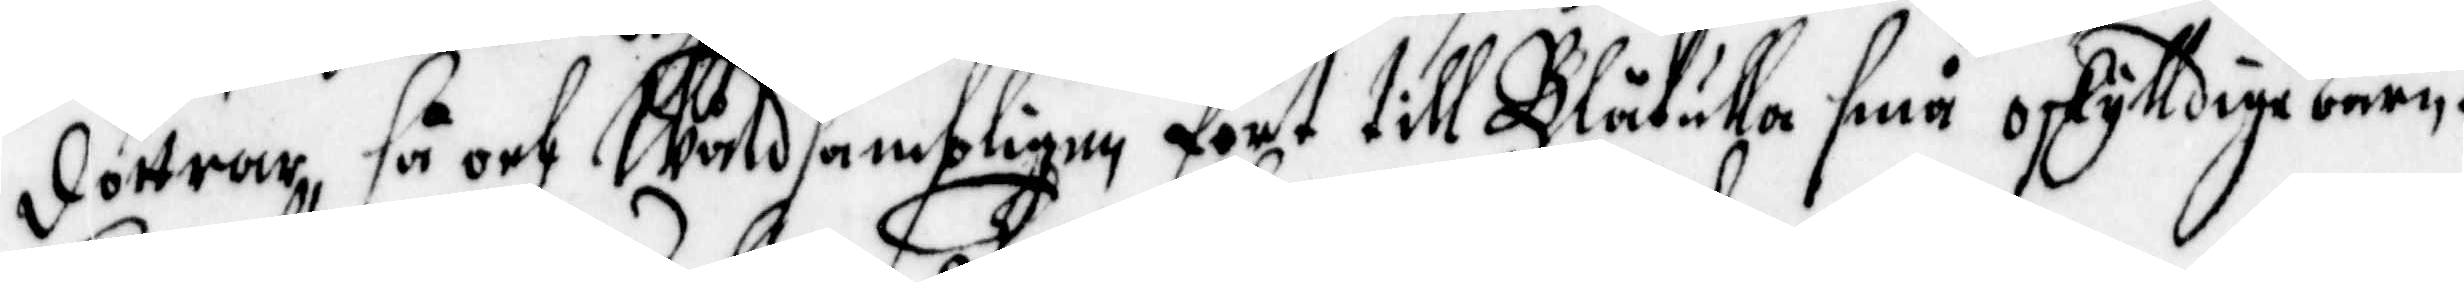döttrar, så och Wåldsambligen fört till Blåkulla små oskylldige barn.
